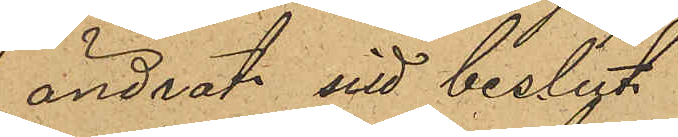ändrat sitt beslut.
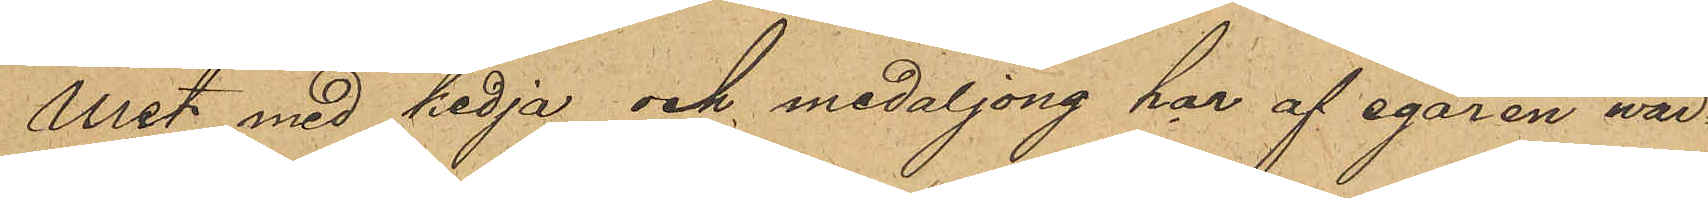Uret med kedja och medaljong har af egaren wär¬
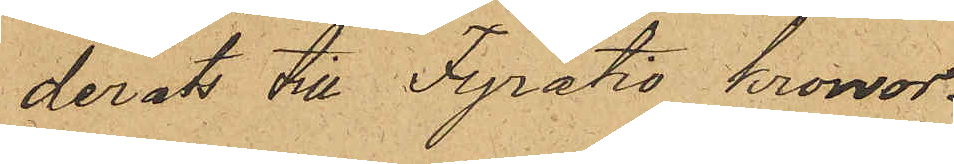derats till Fyratio Kronor.
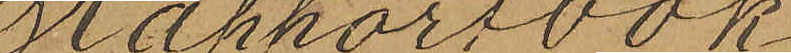Rapportbok
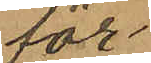för
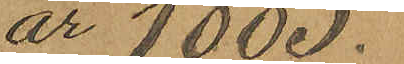år 1885.
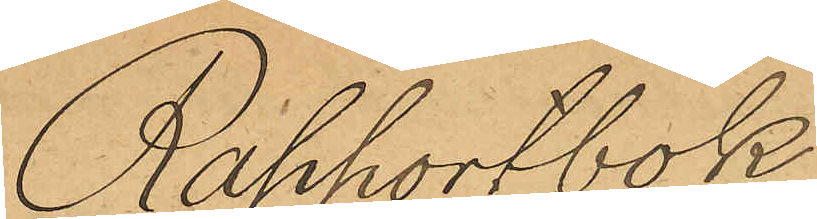Rapportbok
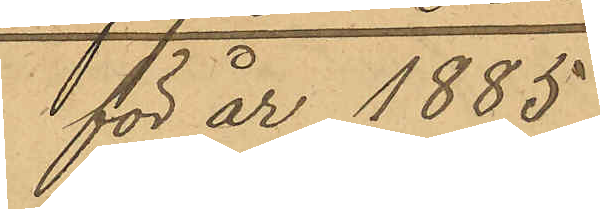för år 1885
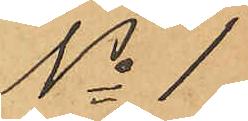No 1.
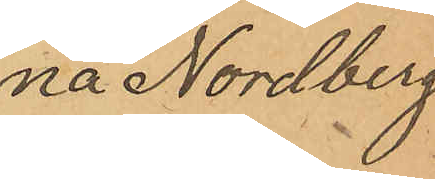na Nordberg
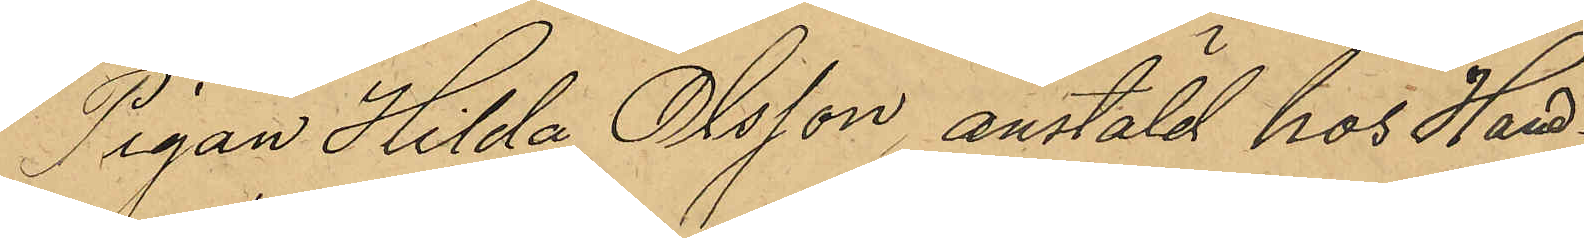Pigan Hilda Olsson, anstäld hos Hand¬
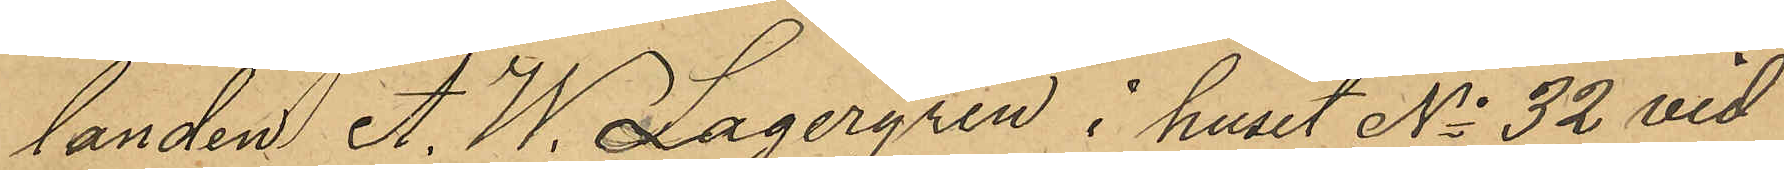landen A. W. Lagergren i huset No 32 vid
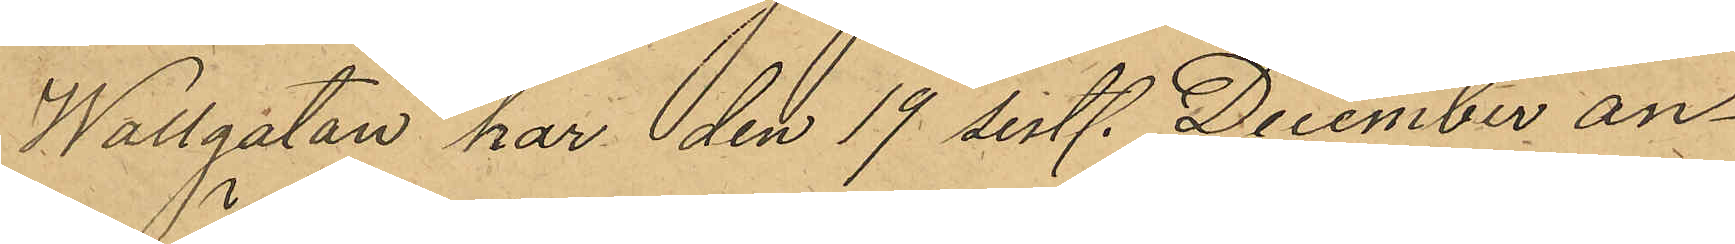Wallgatan har den 19 sistl. December an¬
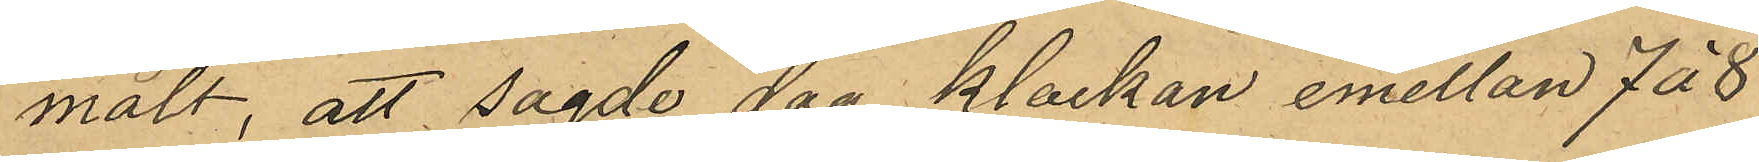mält, att sagde dag klockan emellan 7 á 8
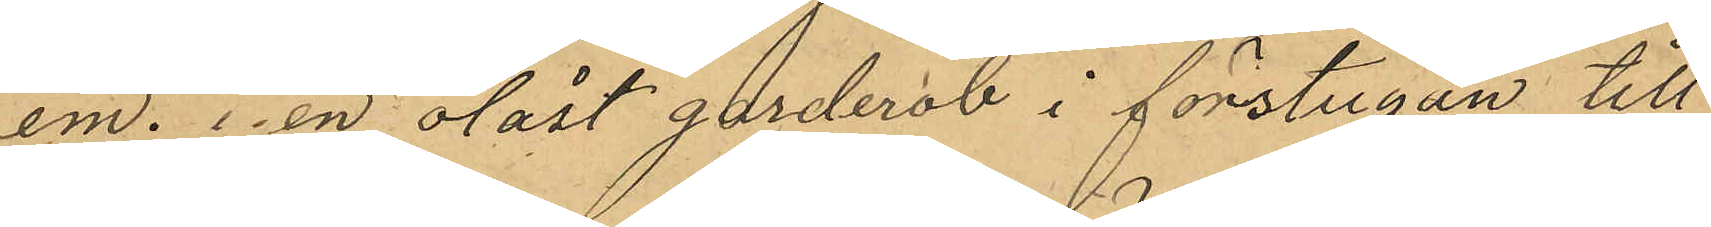em. i en olåst garderob i förstugan till
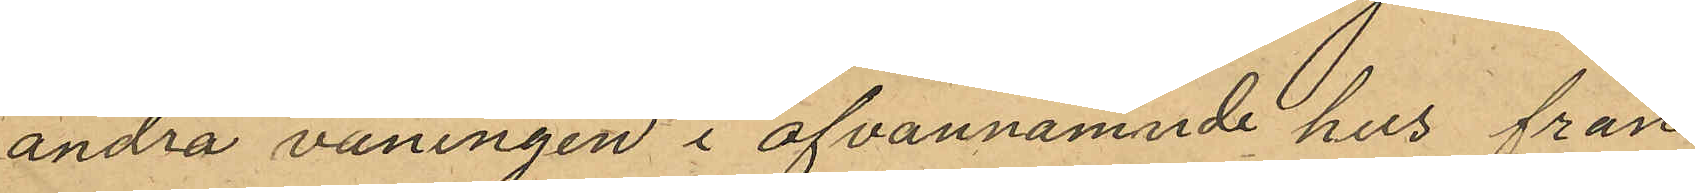andra våningen i ofvannämnde hus från
